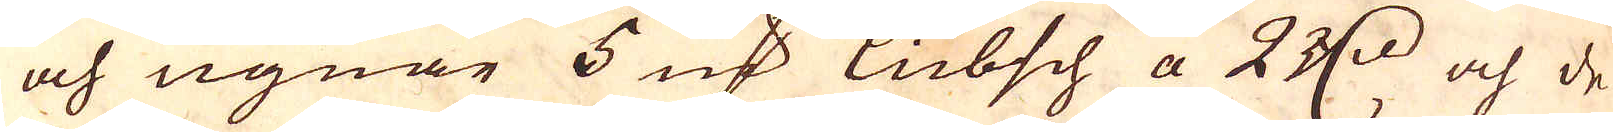och ugnar 5 marker lübsch a 2 r:dr och de
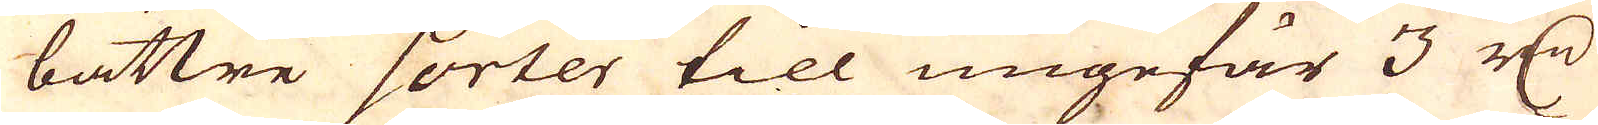bättre sorter till ungefär 3 r:dr
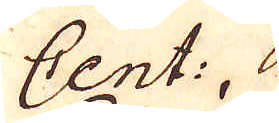Cent:. 
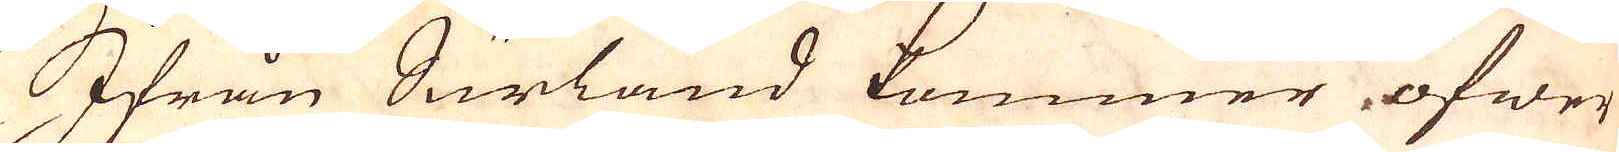Ifrån Surland kommer öfwer
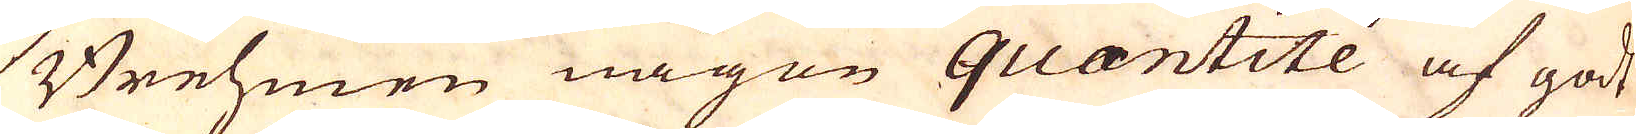Brehmen någon quantité af godt
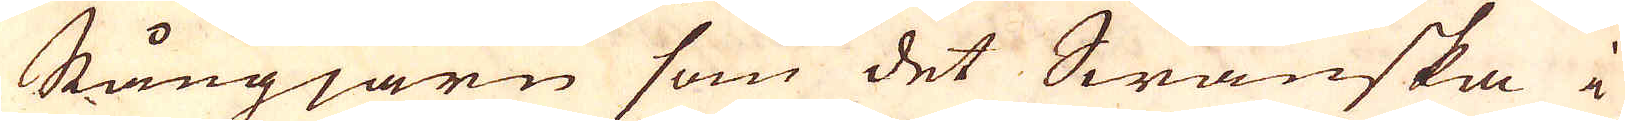Stångjärn som det Swänska i
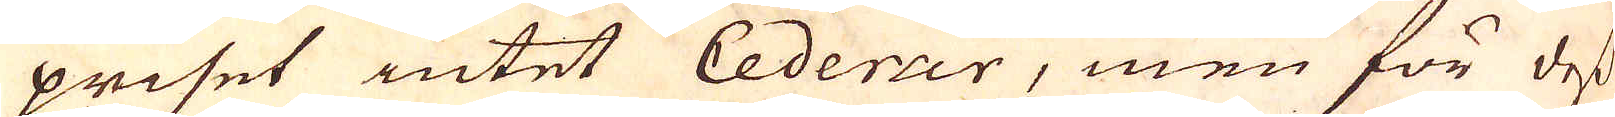priset intet Cederar, men för dess
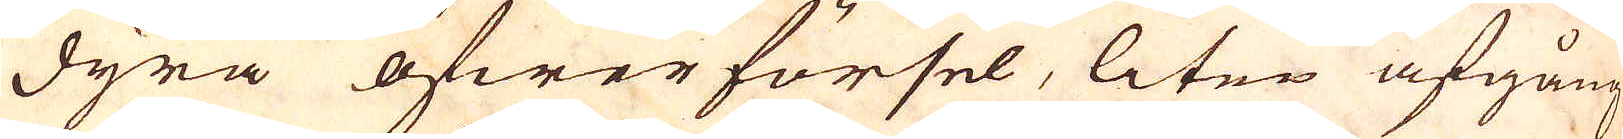dyra öfwerförsel, liten afgång
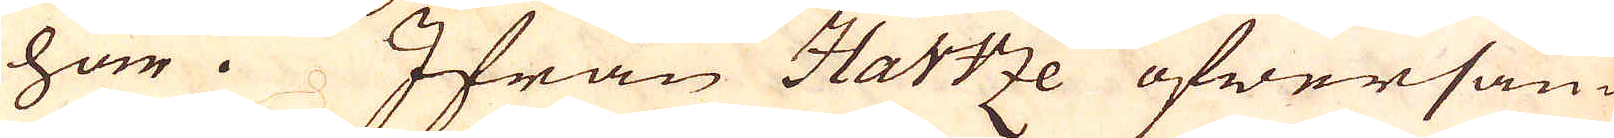har. Ifrån Hartze öfwersän-
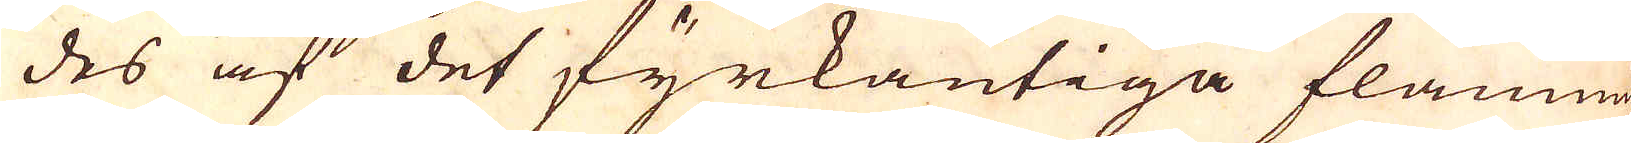des af det fyrkantiga flammig-
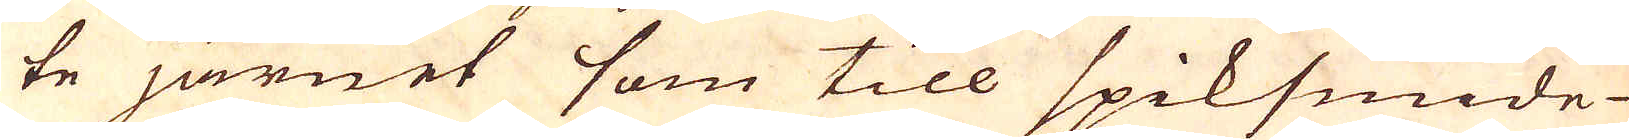te järnet som till spiksmide
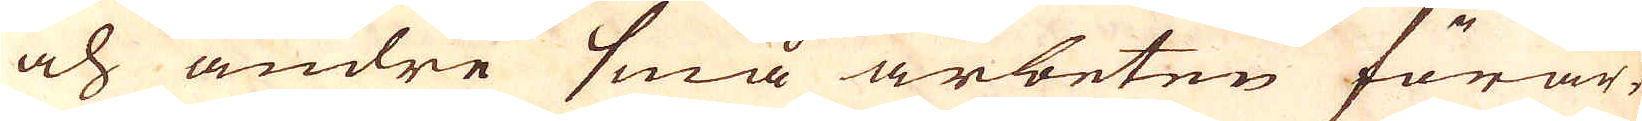och andre små arbeten förar-
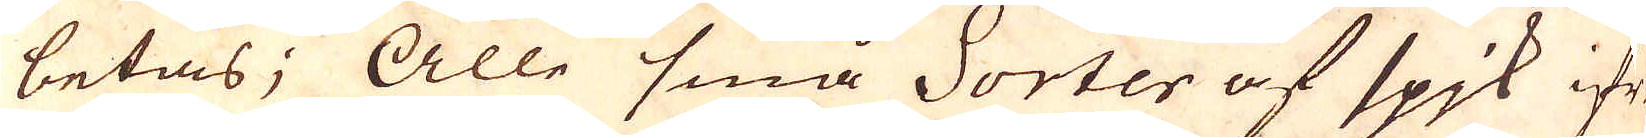betas; Alle små Sorter af spjk ifrån
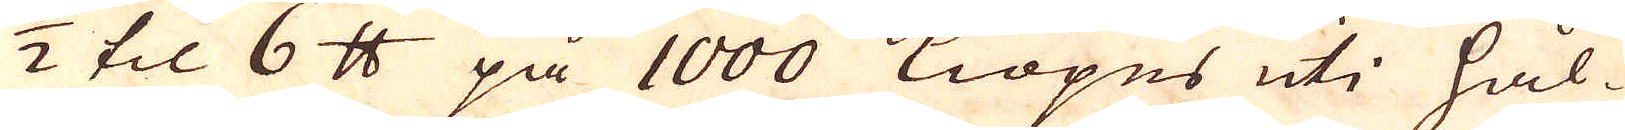1/2 til 6 skålpund på 1000 Kiöpes uti Hål-
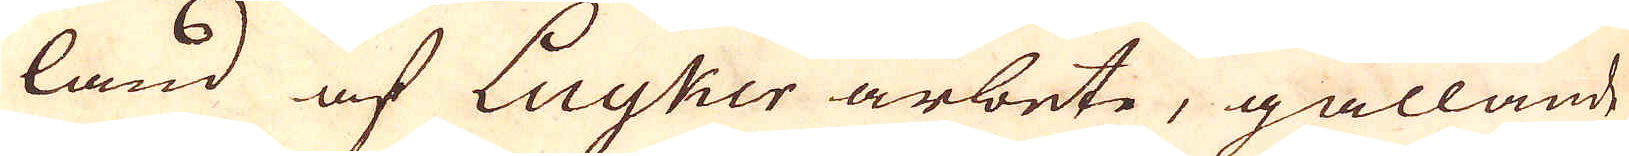land af Luyker arbete, gällande
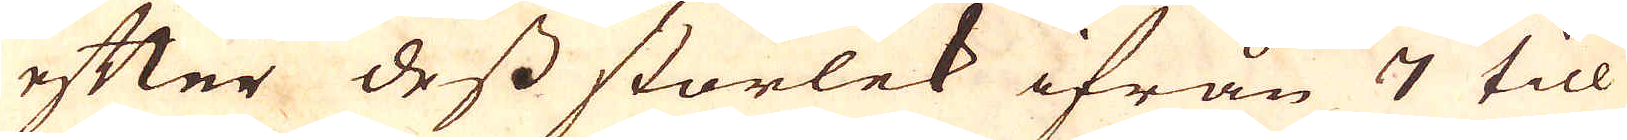efter dess storlek ifrån 7 till
